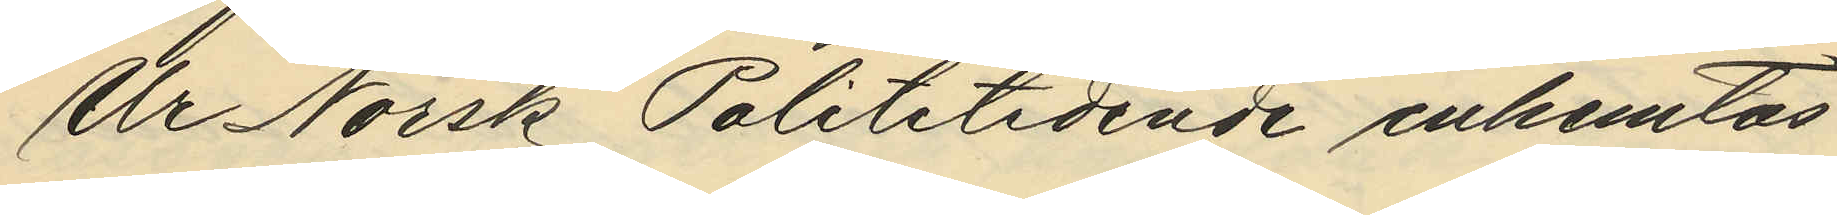Ur Norsk Polititidende inhemtas
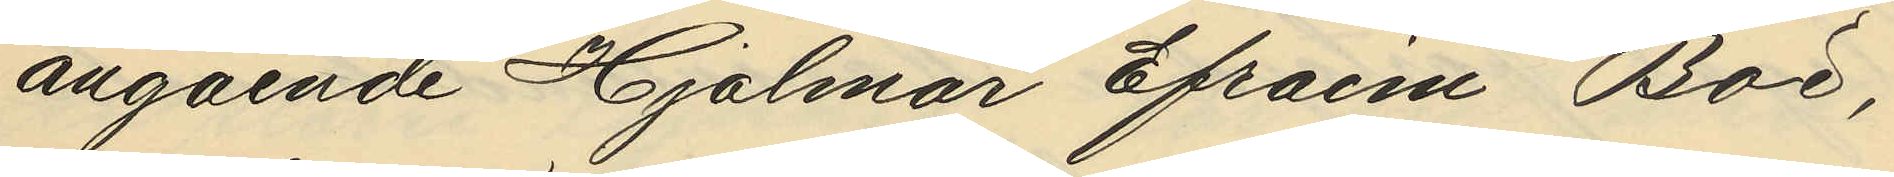angående Hjalmar Efraim Böd,
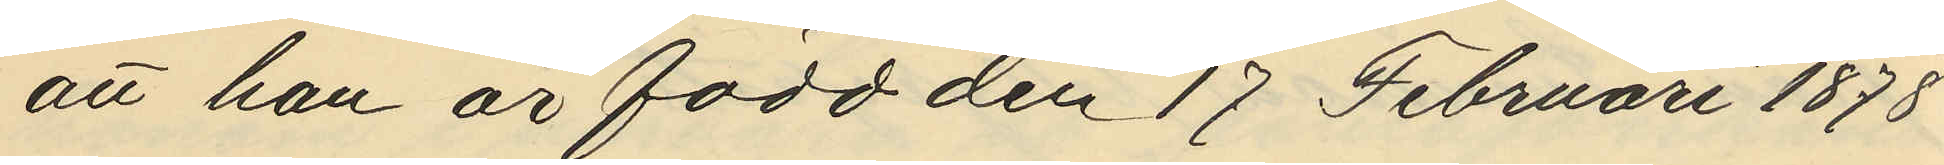att han är född den 17 Februari 1878
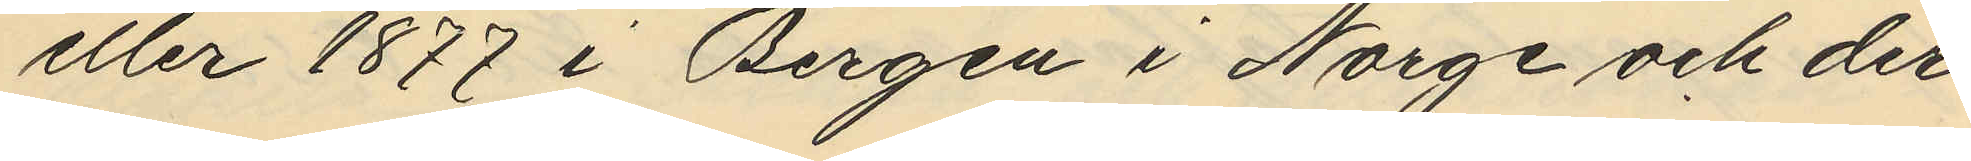eller 1877 i Bergen i Norge och der
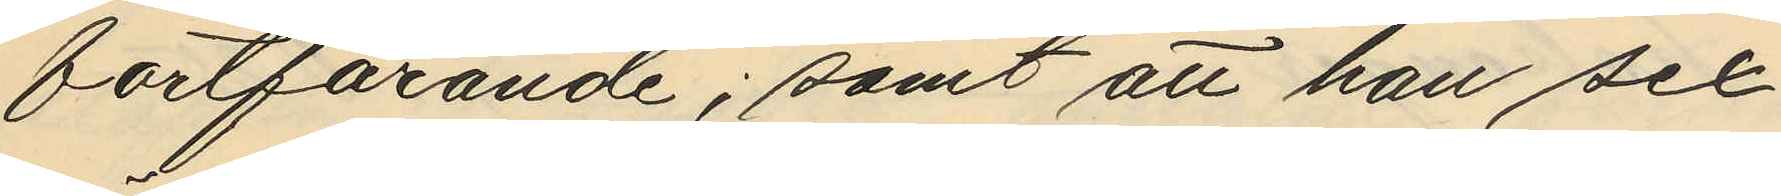fortfarande; samt att han sex
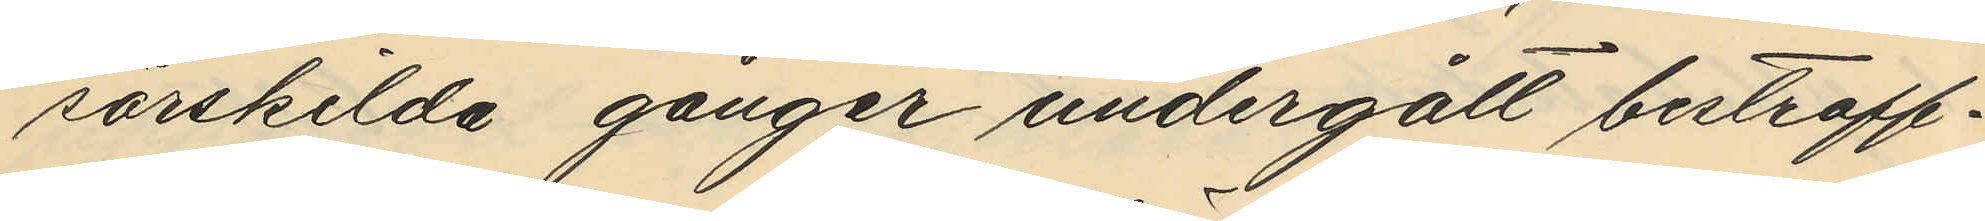särskilda gånger undergått bestraff¬
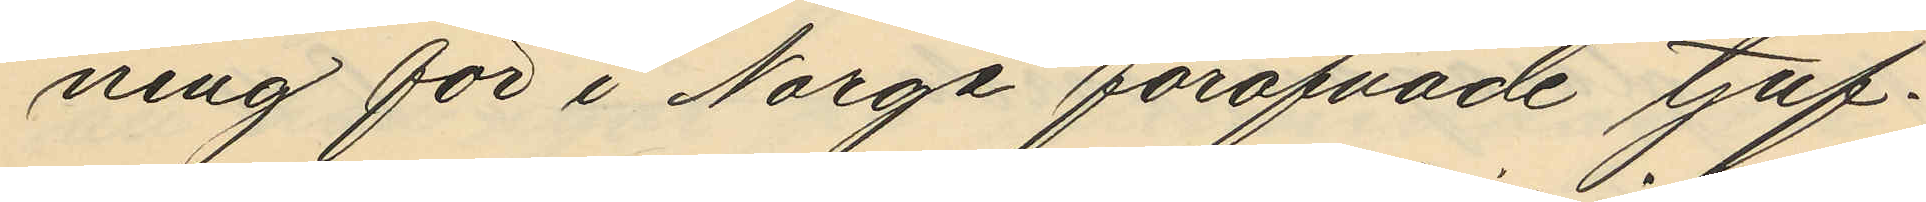ning för i Norge föröfvade tjuf¬
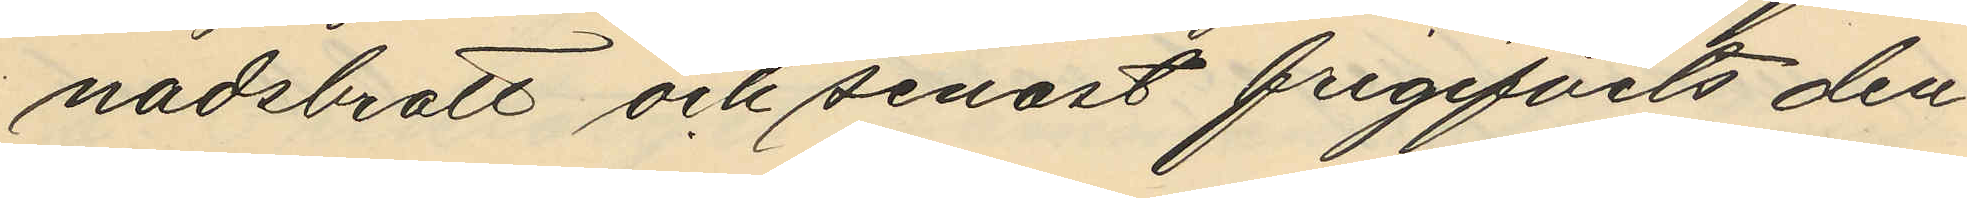nadsbrott och senast frigifvits den
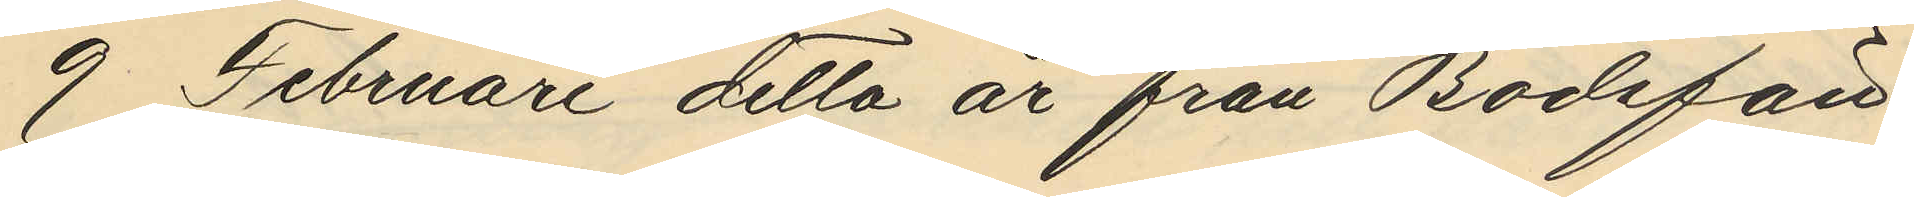9 Februari detta år från Bödsfän¬
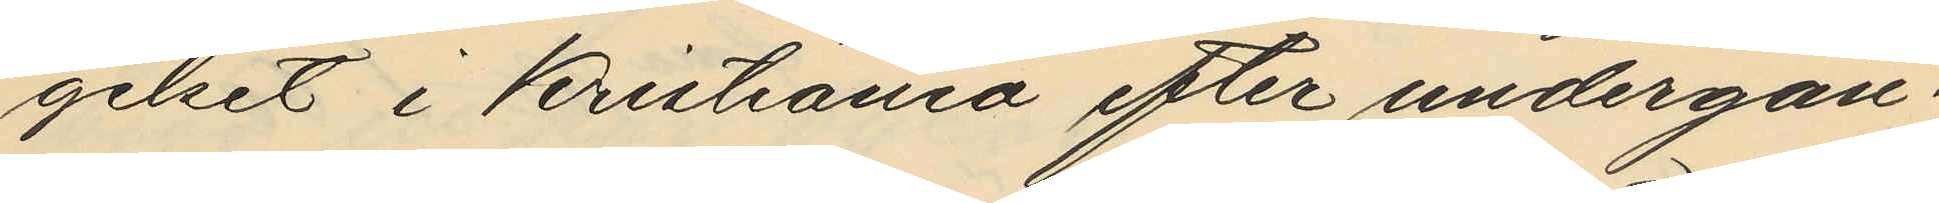gelset i Kristiania efter undergån¬
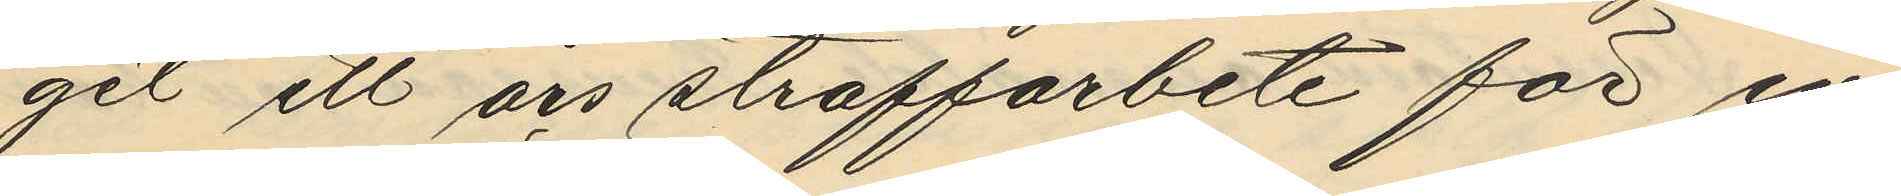get ett års straffarbete för in¬
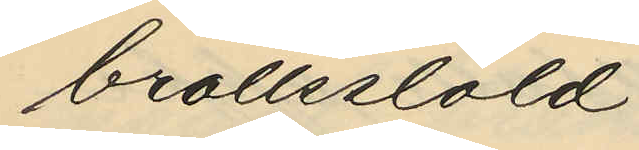brottsstöld.
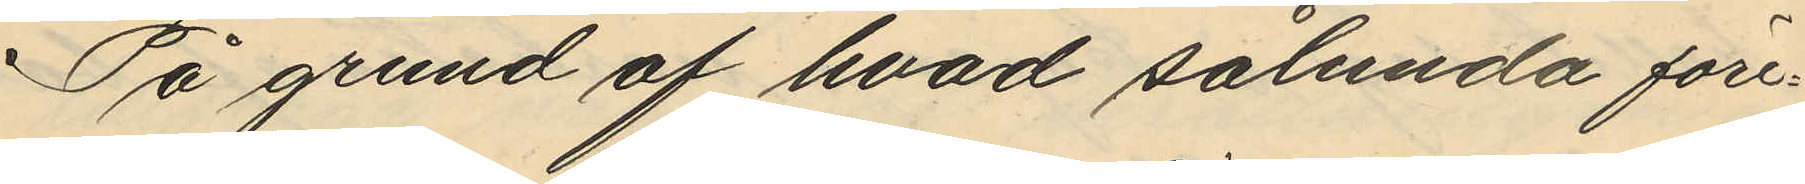På grund af hvad sålunda före¬
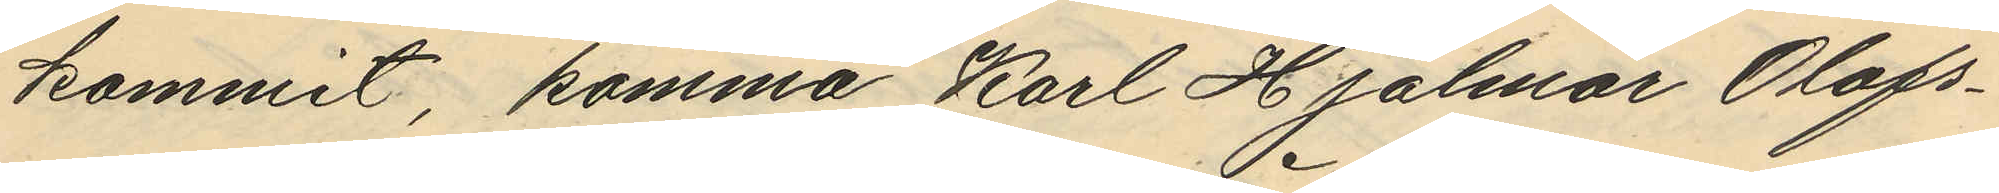kommit, komma Karl Hjalmar Olofs¬
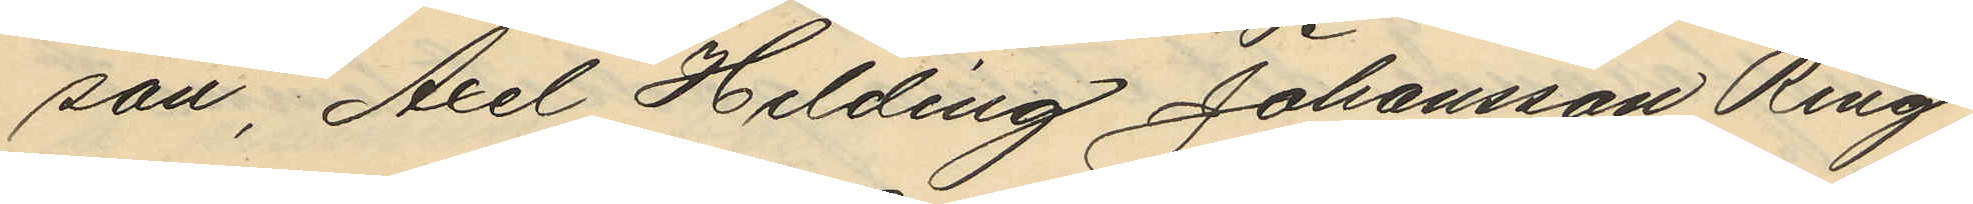son, Axel Helding Johansson Ring
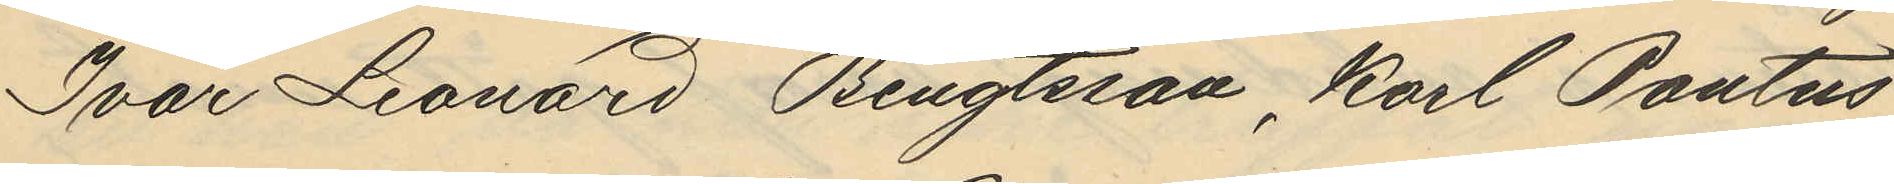Ivar Leonard Bengtsson, Karl Pontus
